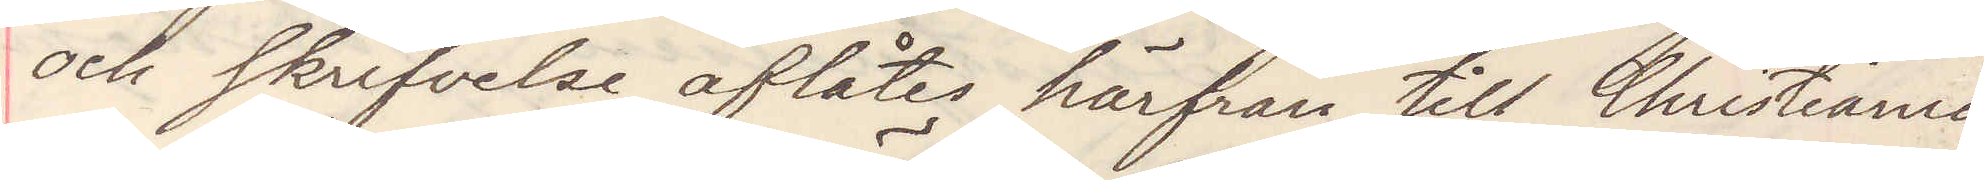och skrifvelse åflåtes härifrån till Christiania
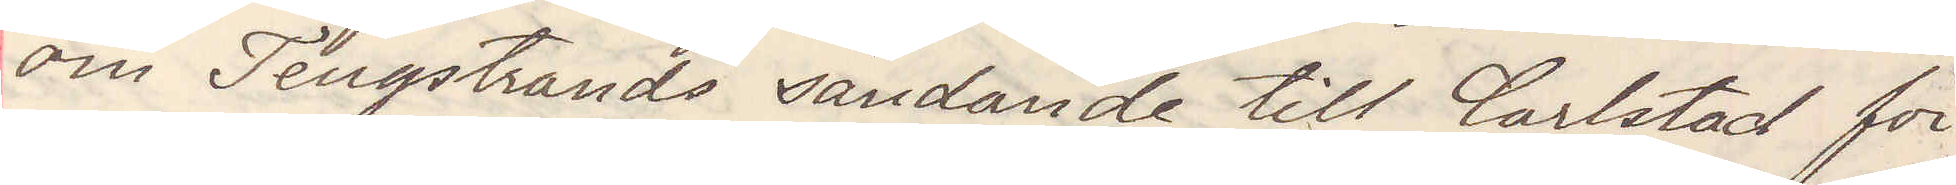om Tengstrands sändande till Carlstad för
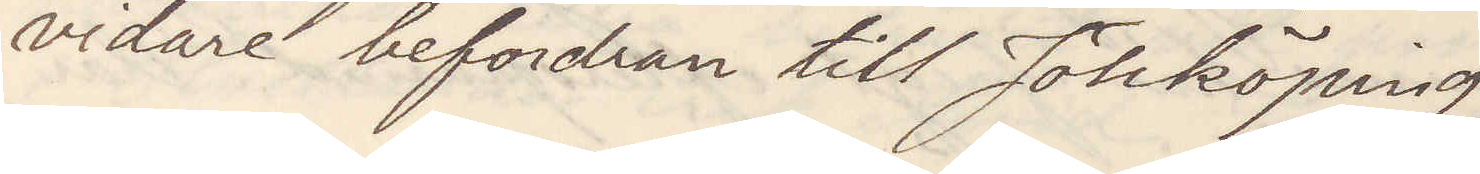vidare befordran till Jönköping
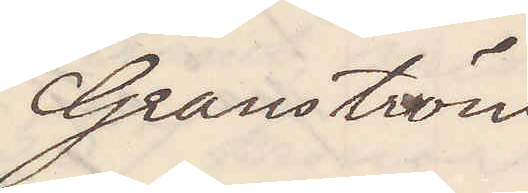Granström
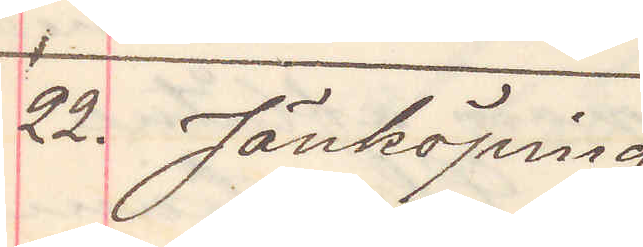22. Jönköping
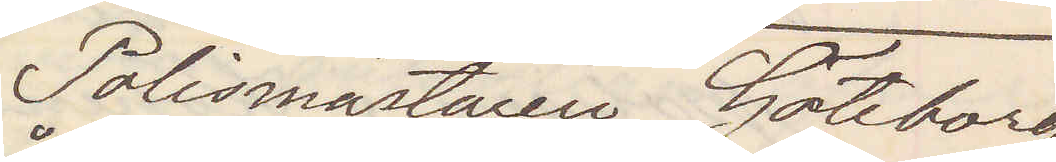Polismästaren Göteborg
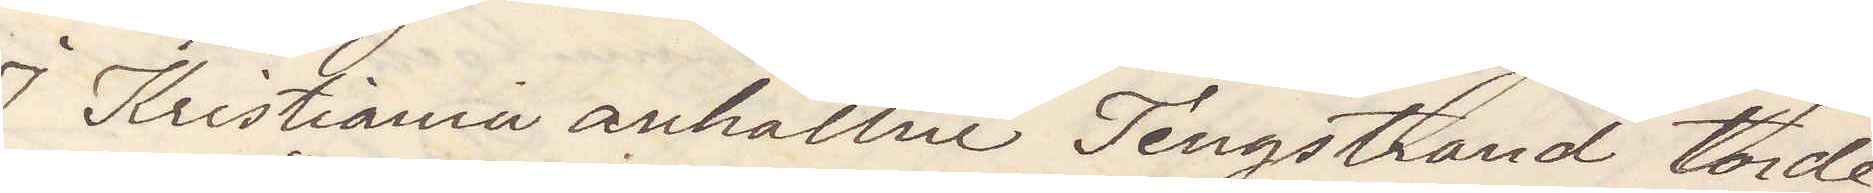Kristiania anhållne Tengstrand torde
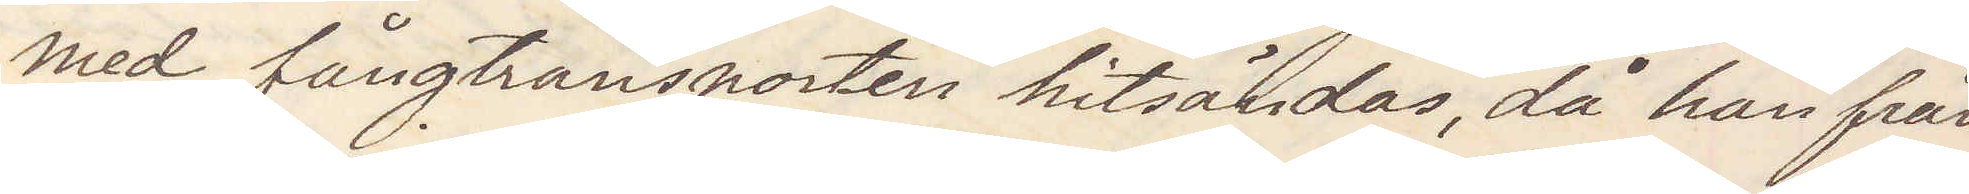med fångtransporters hitsändnande, då han från
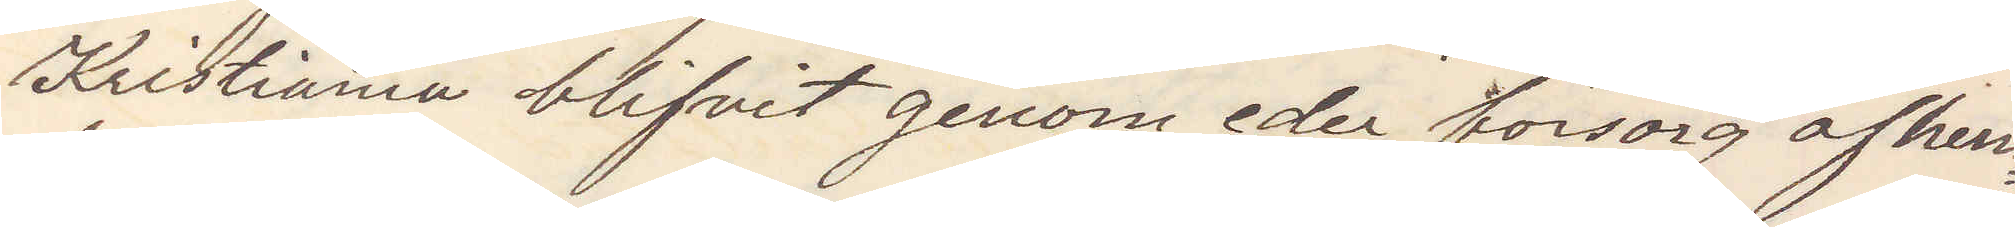Kristiania blifvit genom eder försorg afhem¬
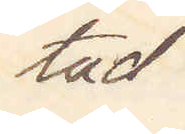tad.
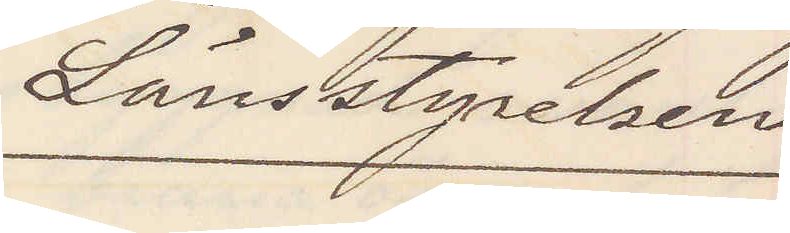Länsstyrelsen
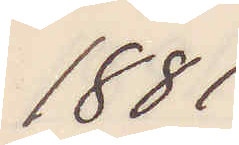1881
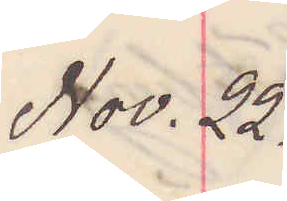Nov. 22.
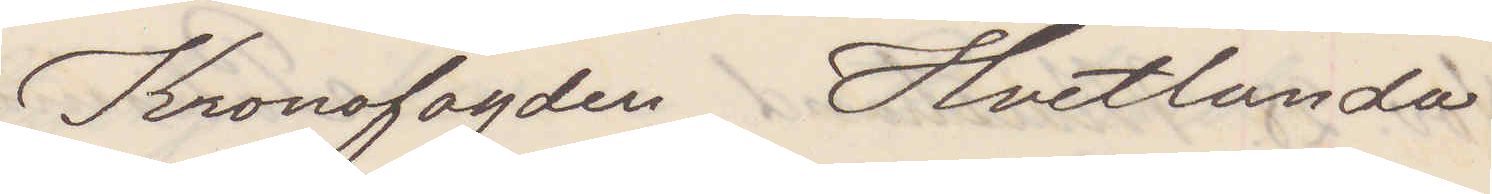Kronofogden Hvetlanda
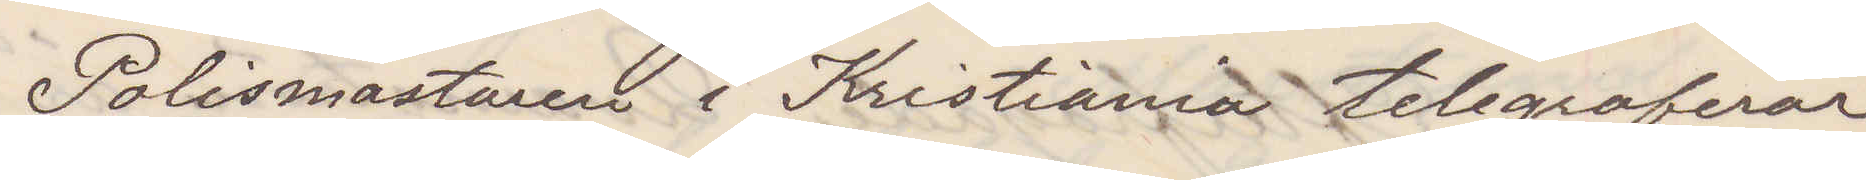Polismästaren i Kristiania telegraferar
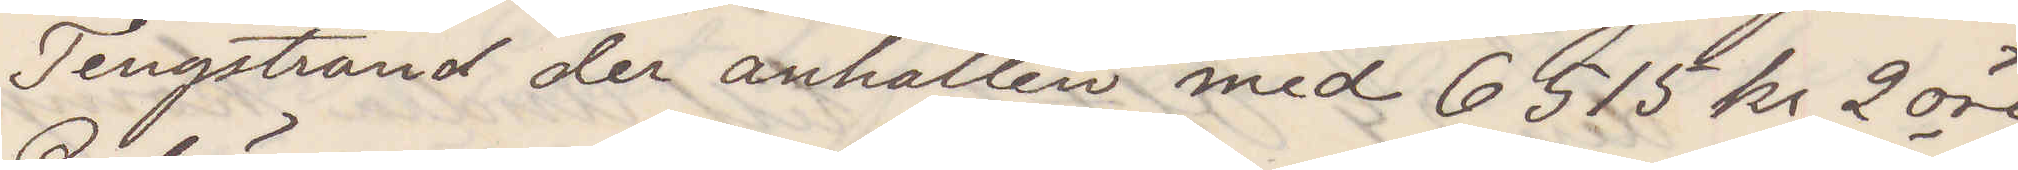Tengstrand der anhållen med 6515 kr 2 öre
